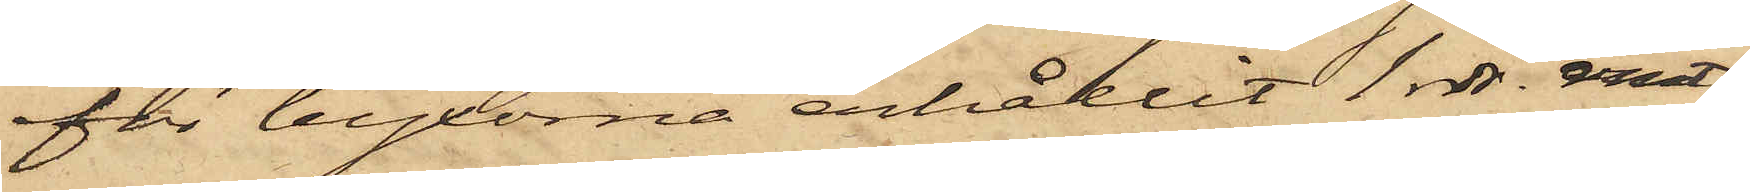för byxorna erhållit 1 rdr. rmt,
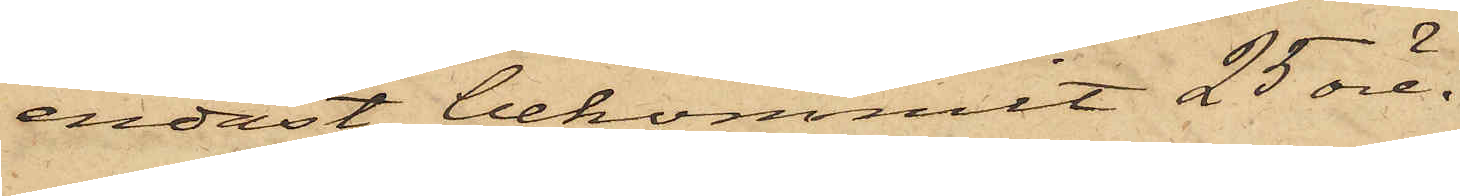endast bekommit 25 öre.
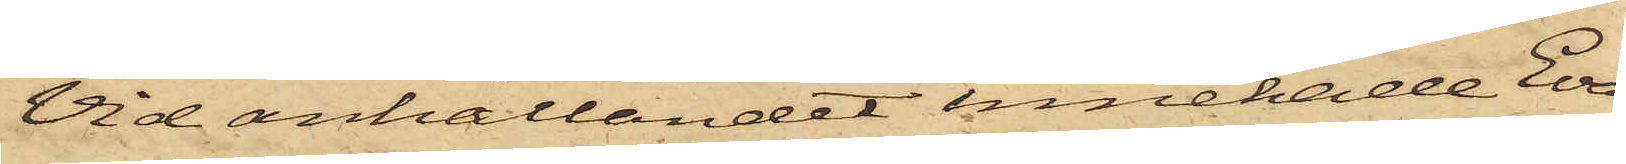Vid anhållandet innehade till¬
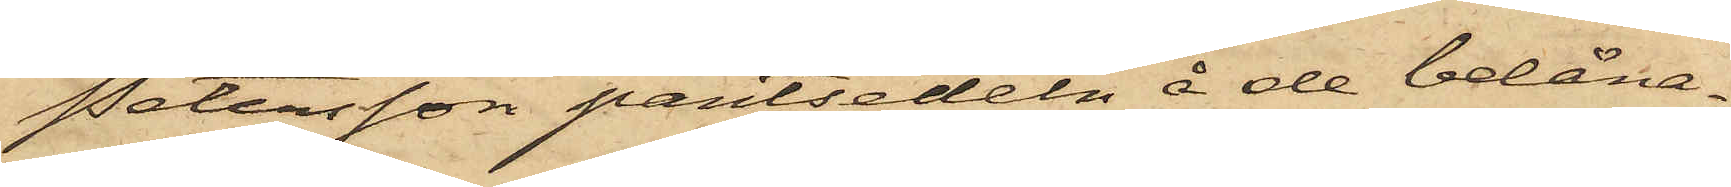Petersson pantsedeln å de belåna¬
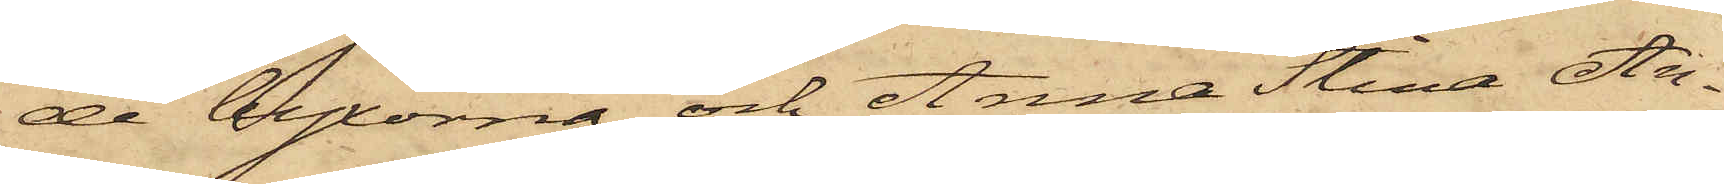de byxorna och Anna Stina An¬
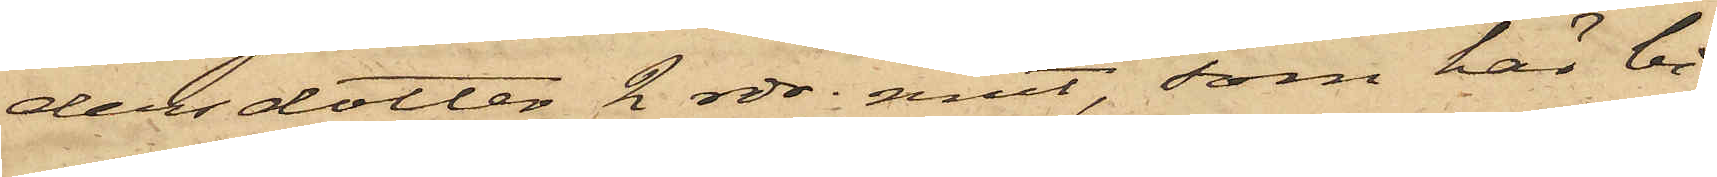dersdotter 2 rdr. rmt, som här bi¬
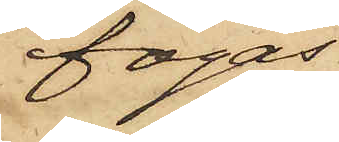fogas.
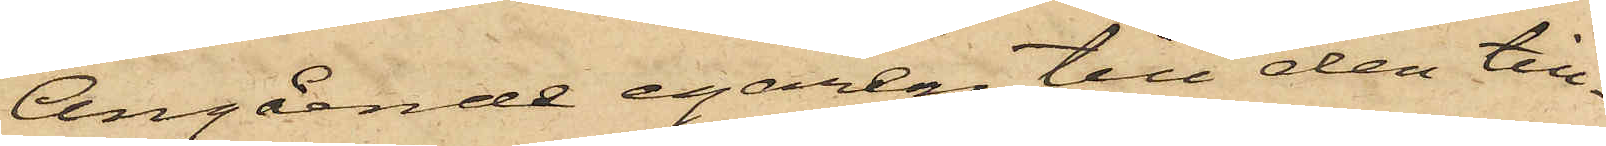Angående egaren till den till¬
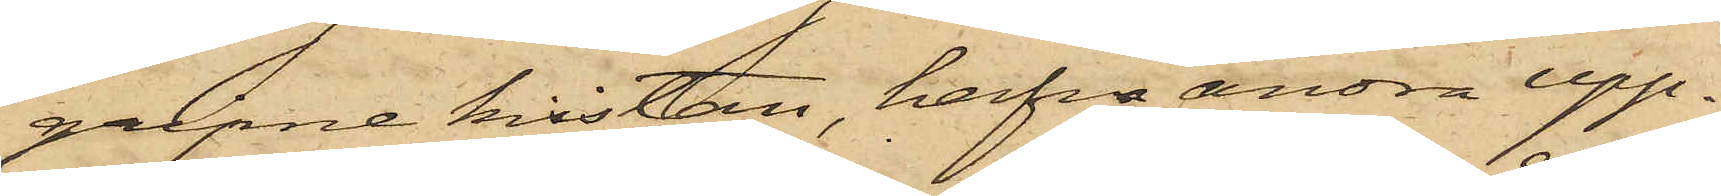gripne kistan, hafva andra upp¬
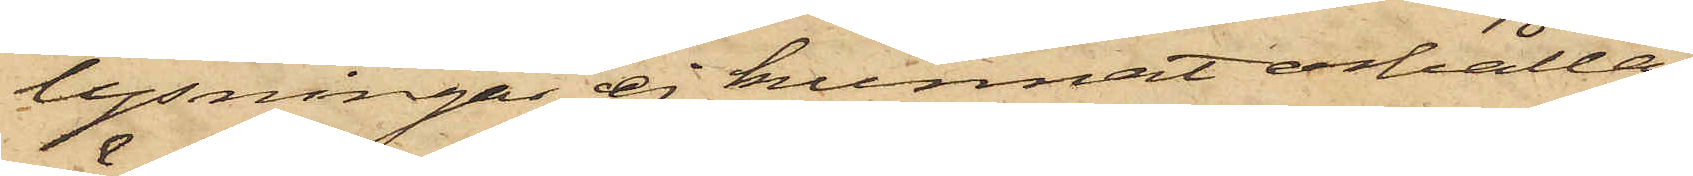lysningar ej kunnat erhållas,
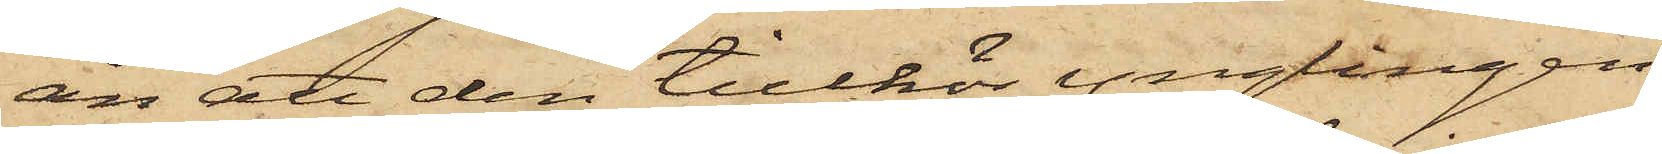än att den tillhör ynglingen
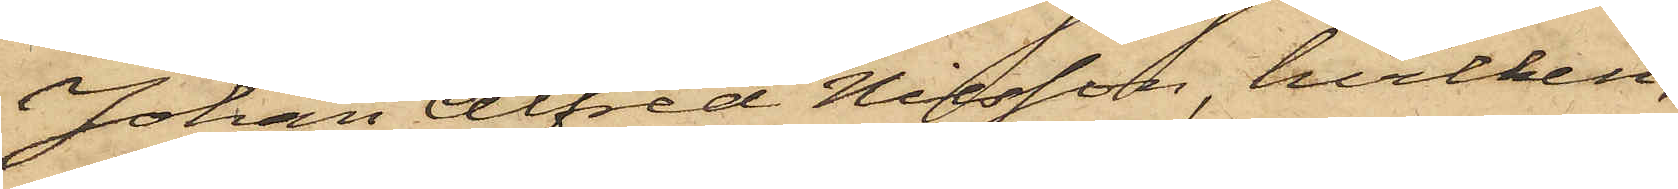Johan Alfred Nilsson, hvilken,
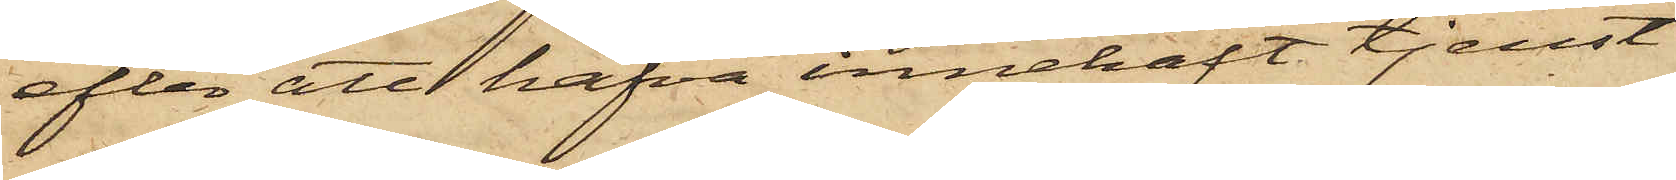efter att hafva innehaft tjenst
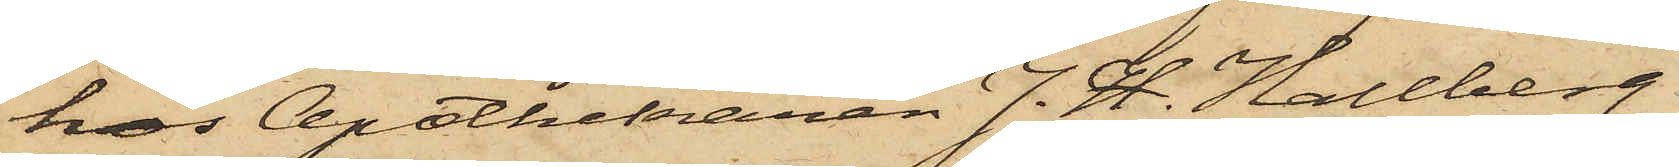hos Apothekaren J. H. Hallberg
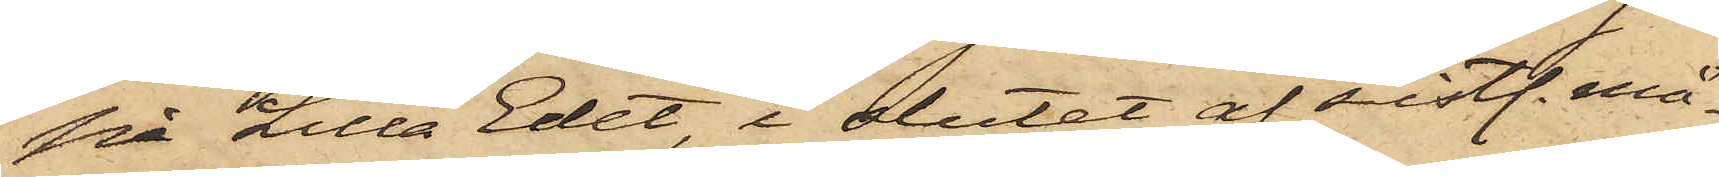på Lilla Edet, i slutet af sistl. må¬
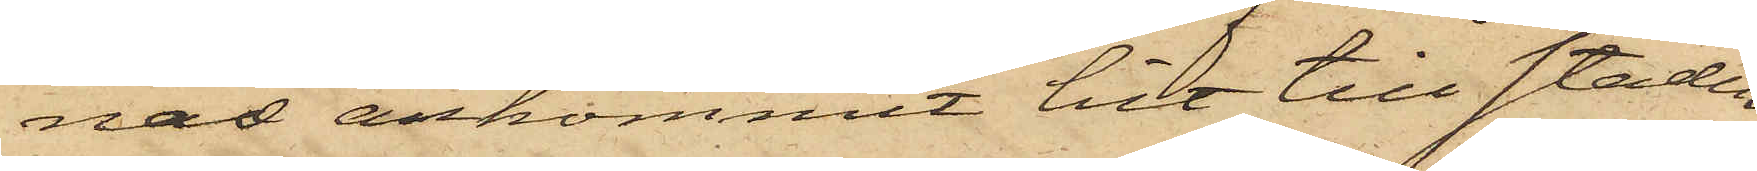nas ankommit hit till staden
